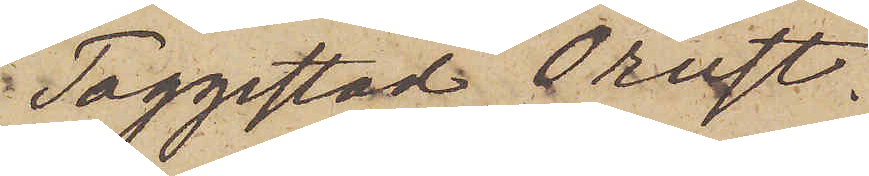Toggestad Orust.
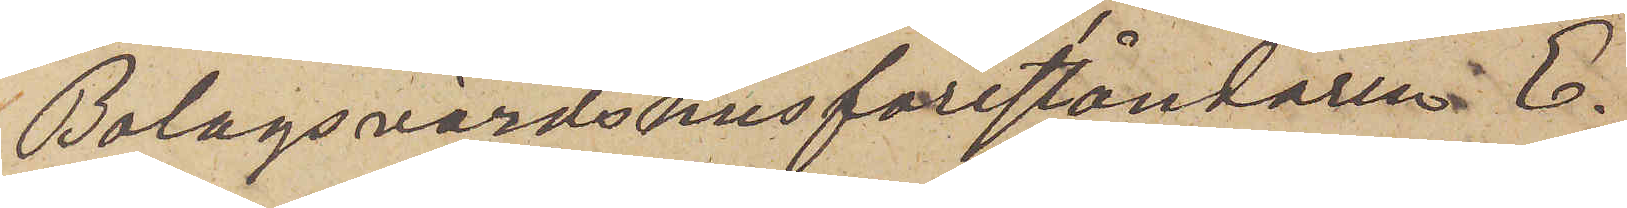Bolagsvärdshusföreståndaren E.
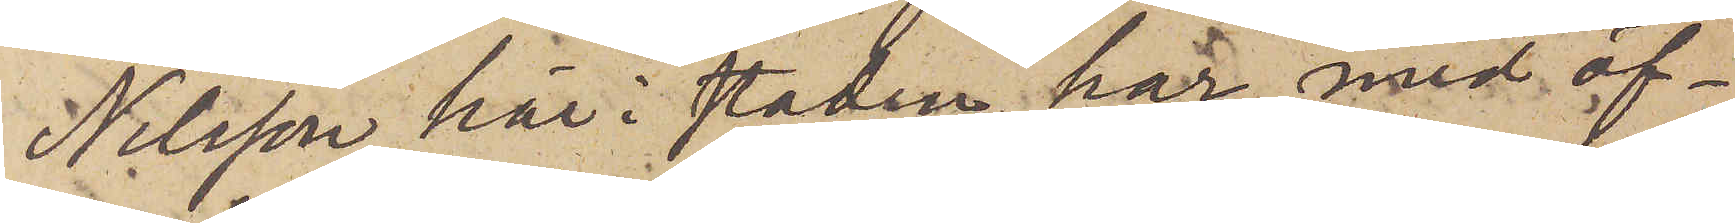Nilsson här i staden har med öf¬
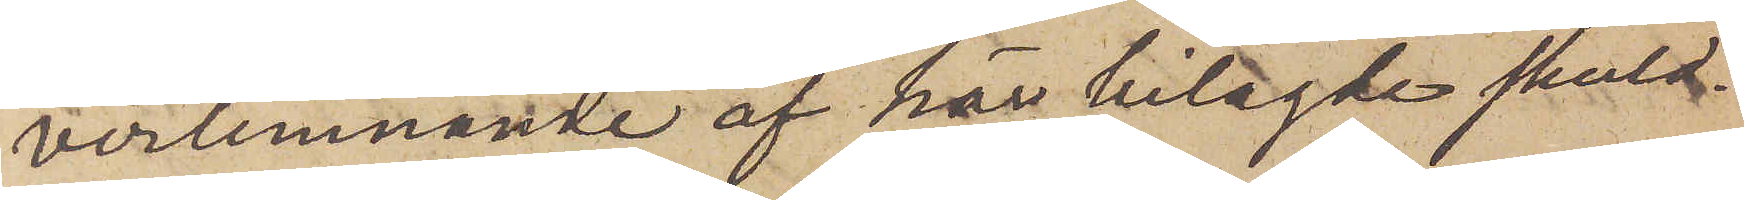verlemnande af här bilagde skuld¬
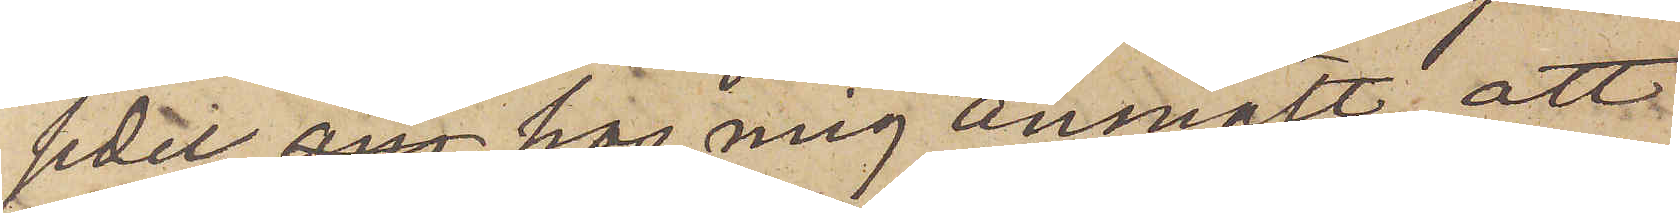sedel, hos mig anmält att
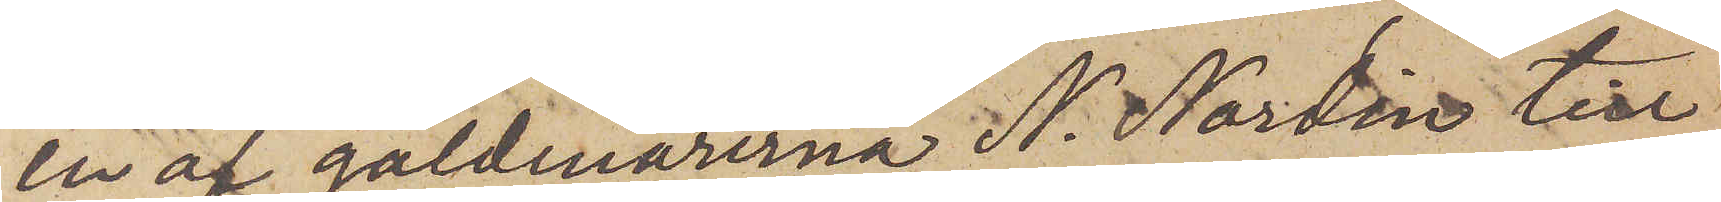en af gäldenärerna N. Nordin till
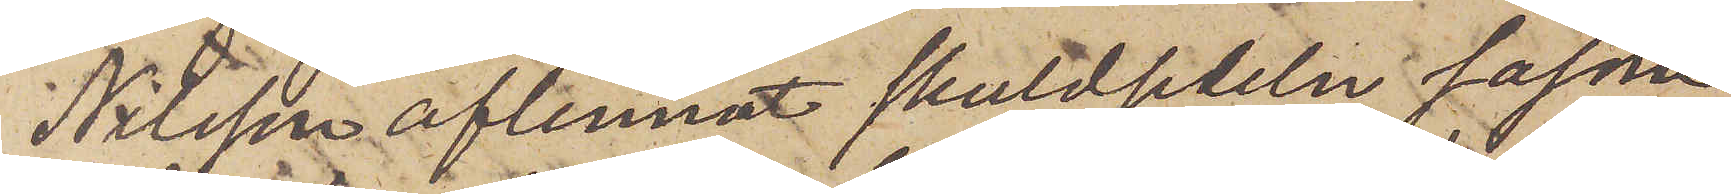Nilsson aflemnat skuldsedeln såsom
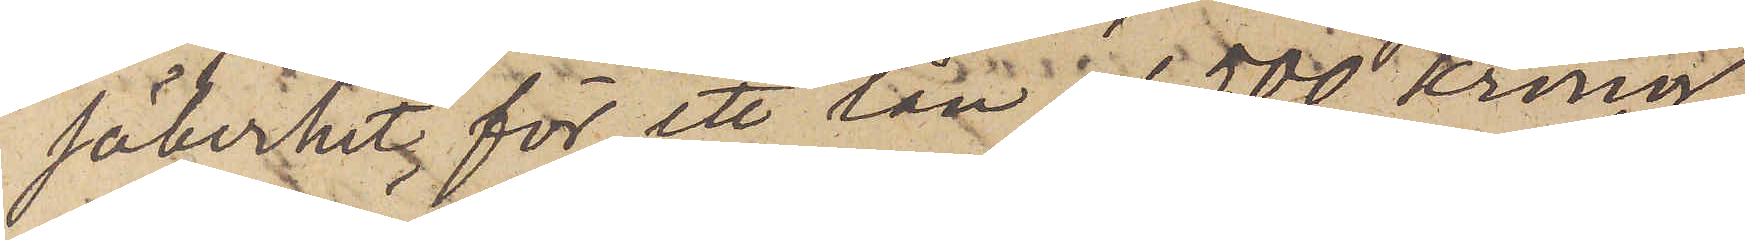säkerhet för ett lån af 500 Kronor
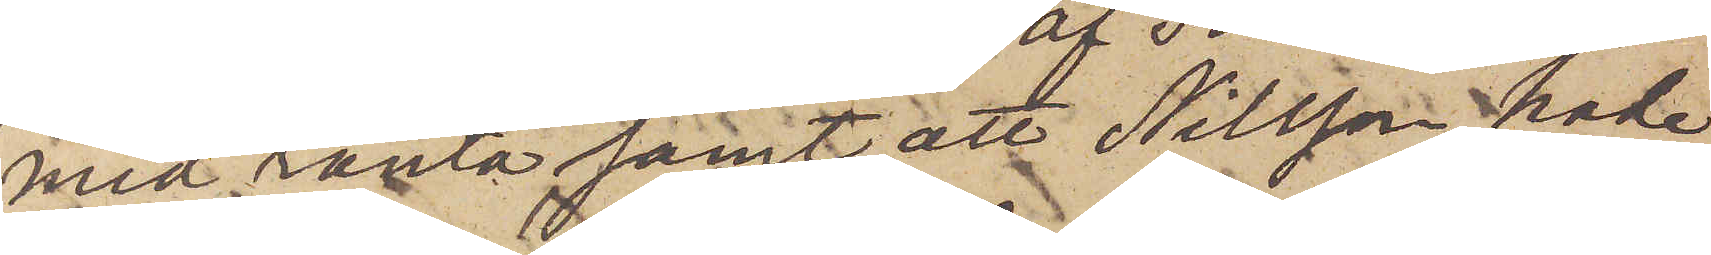med ränta samt att Nilsson hade
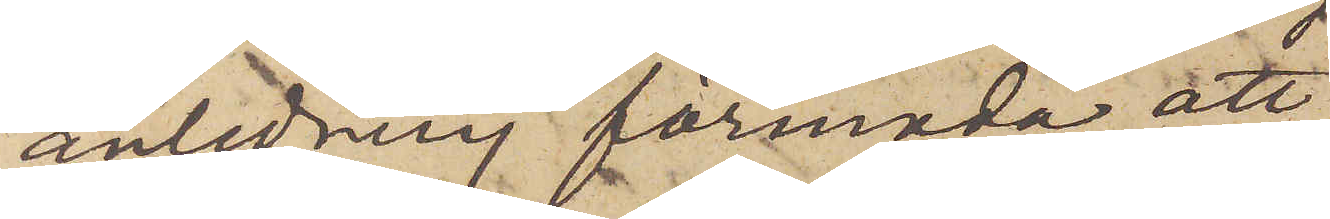anledning förmoda att
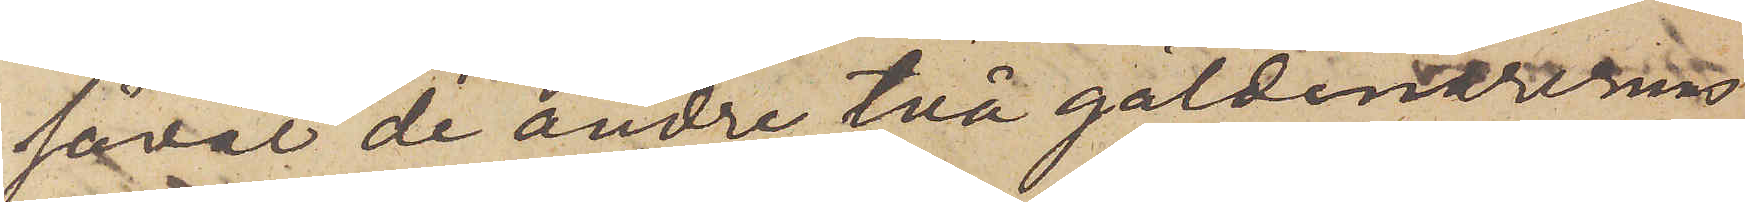såväl de andre två gäldenärernas
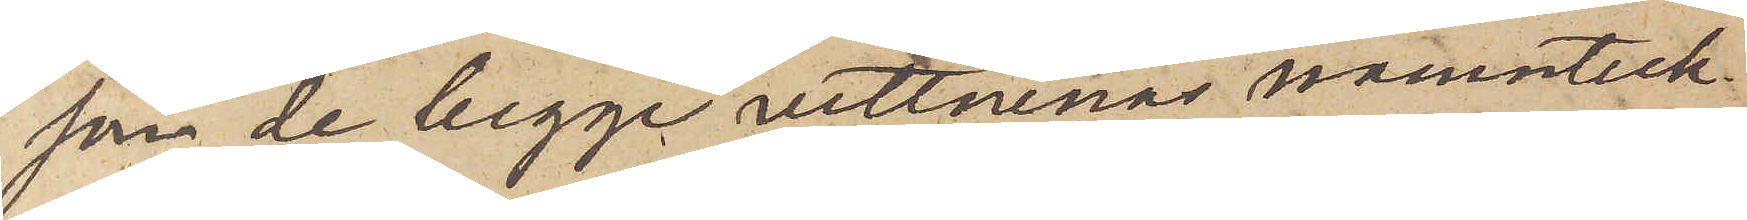som de begge vittnenas namnteck¬
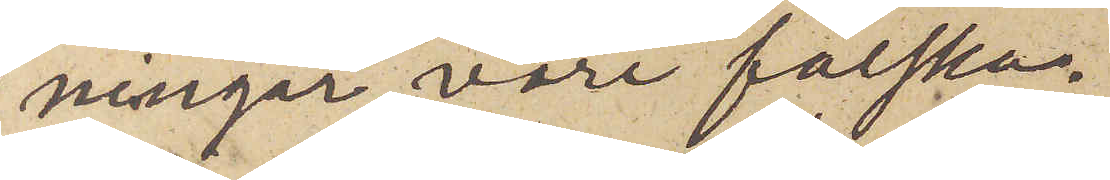ningar vore falska.
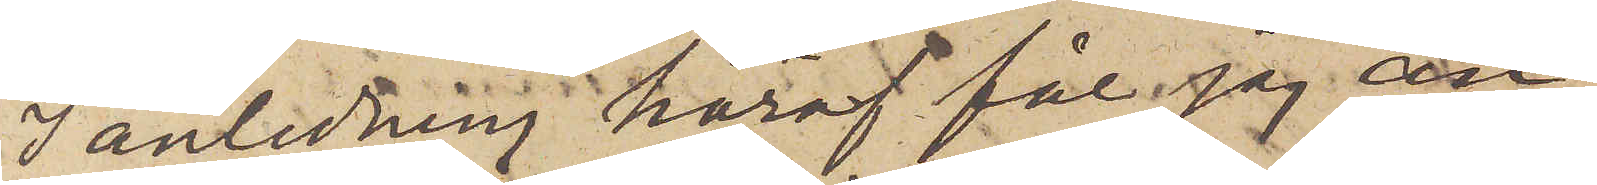I anledning häraf får jag an¬
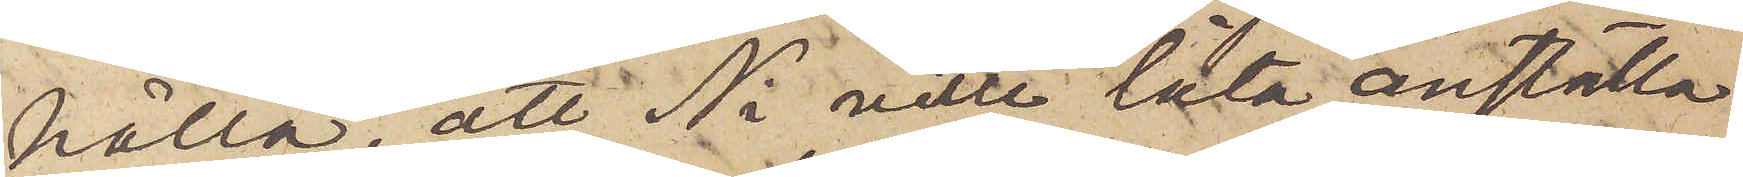hålla att Ni ville låta anställa
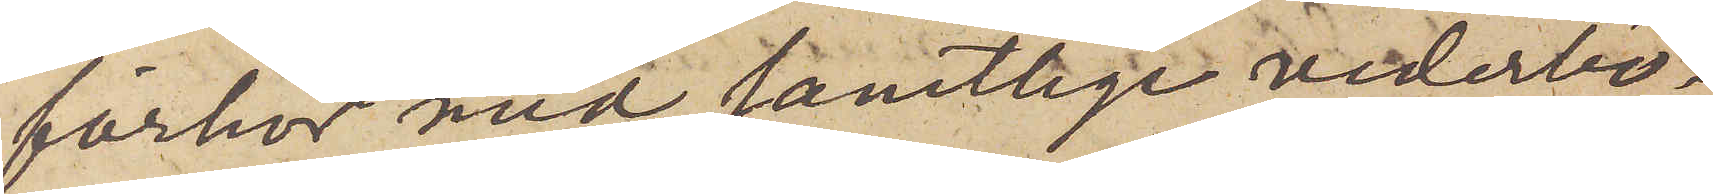förhör med samtlige vederbö¬
